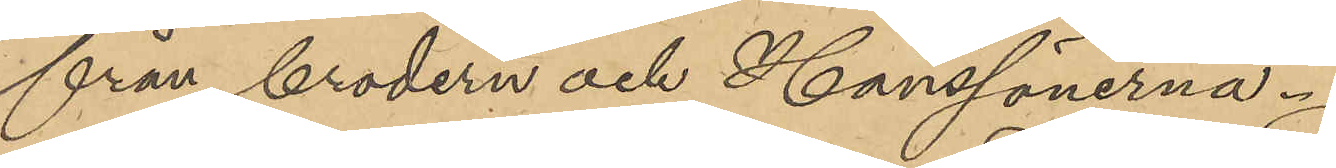från brodern och Hanssönerna.
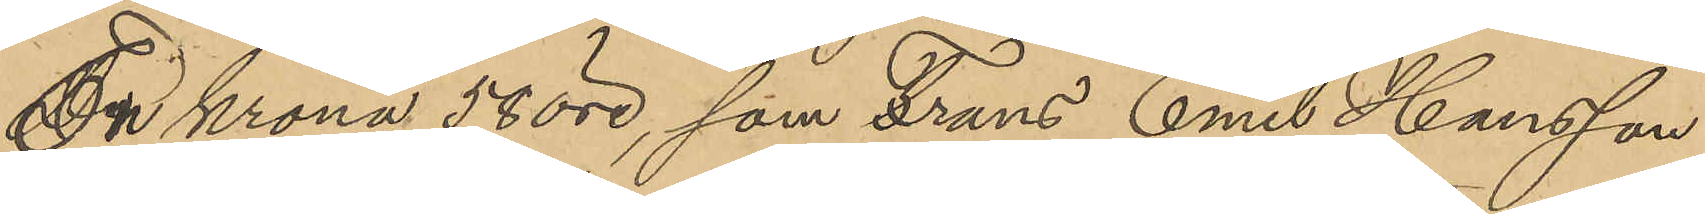En Krona 58 öre, som Frans Emil Hansson
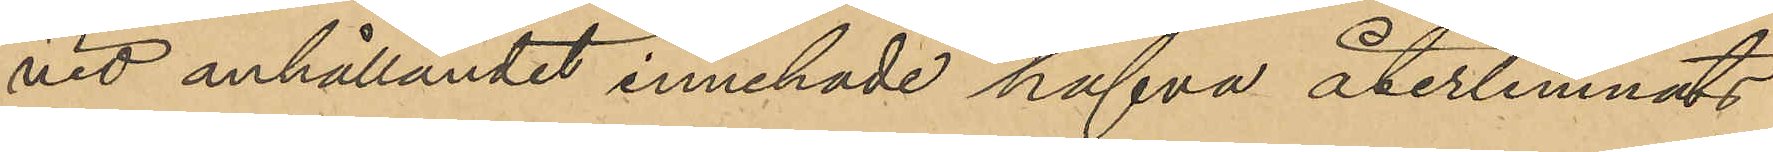vid anhållandet innehade hafva återlemnats
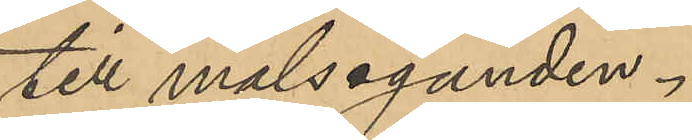till målseganden.
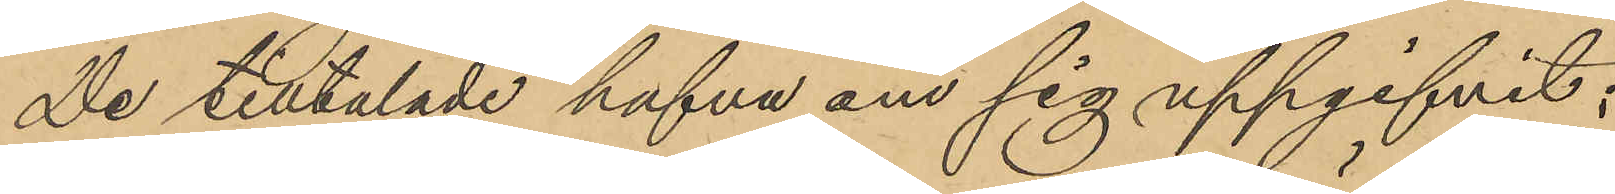De tilltalade hafva om sig uppgifvit:
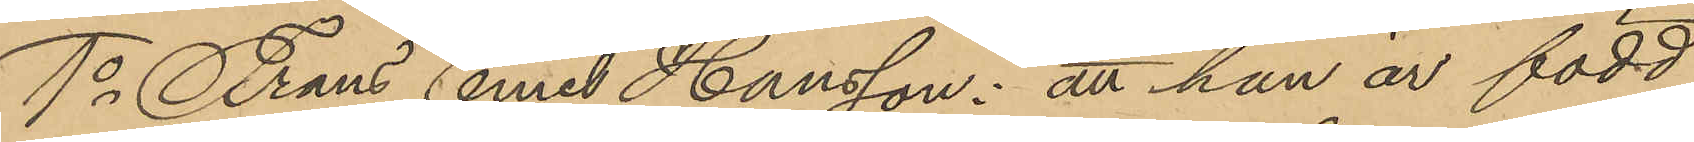1o Frans Emil Hansson: att han är född
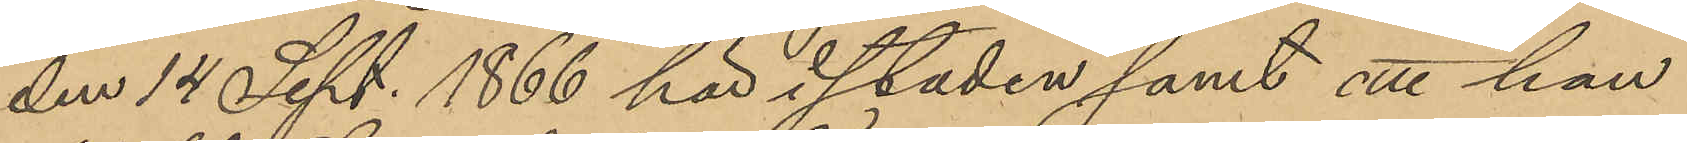den 14 Sept. 1866 här i staden samt att han
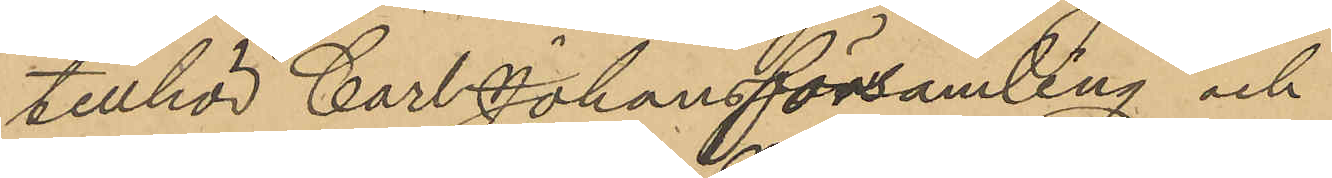tillhör Carl Johansfönsamling och
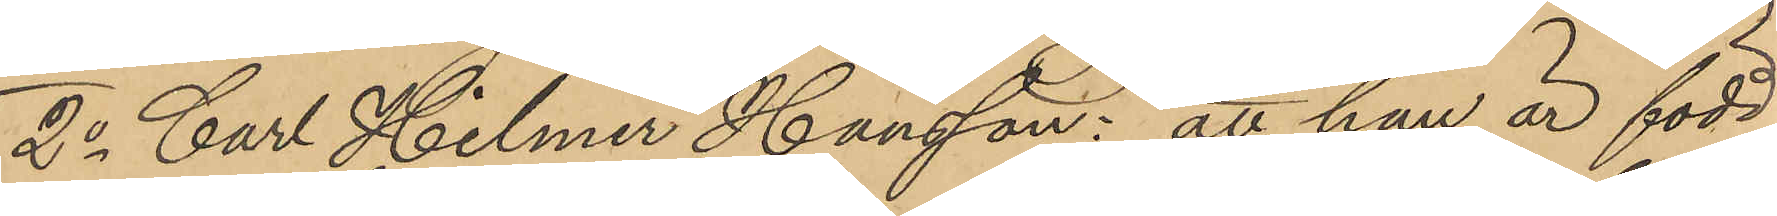2o Carl Helmer Hansson: att han är född
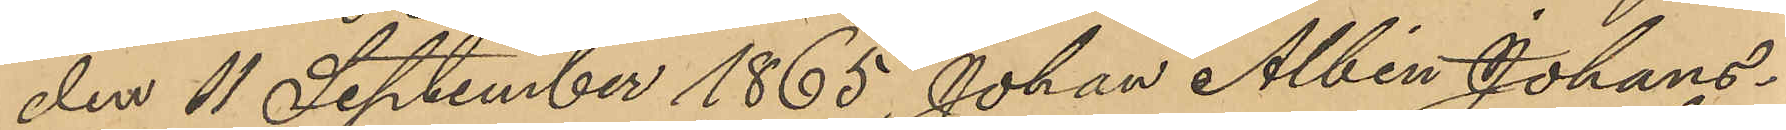den 11 September 1865, Johan Albin Johans¬
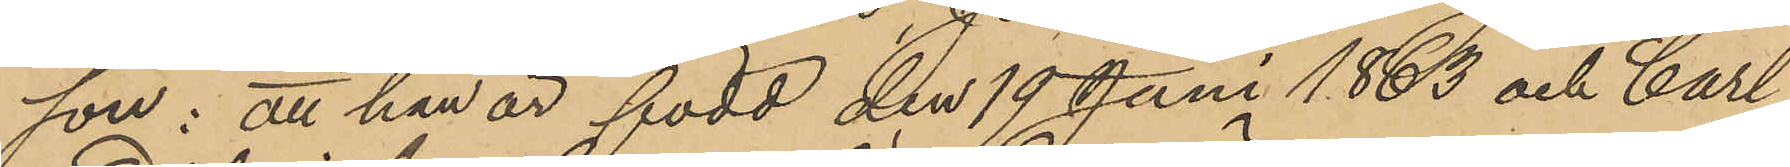son: att han är född den 19 Juni 1863 och Carl
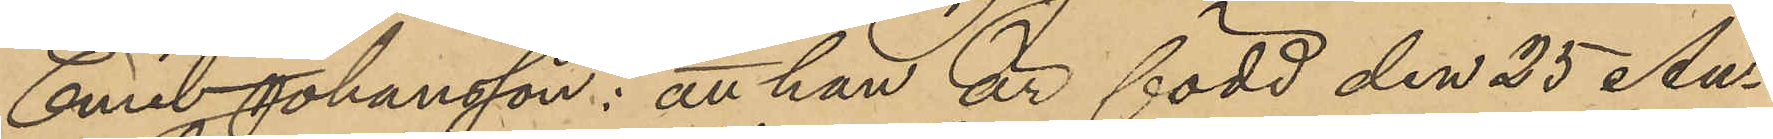Emil Johansson: att han är född den 25 Au¬
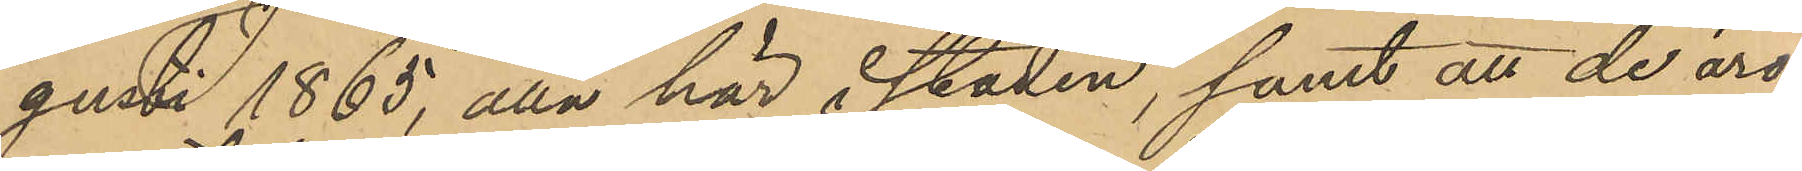gusti 1865, alla här i staden, samt att de äro
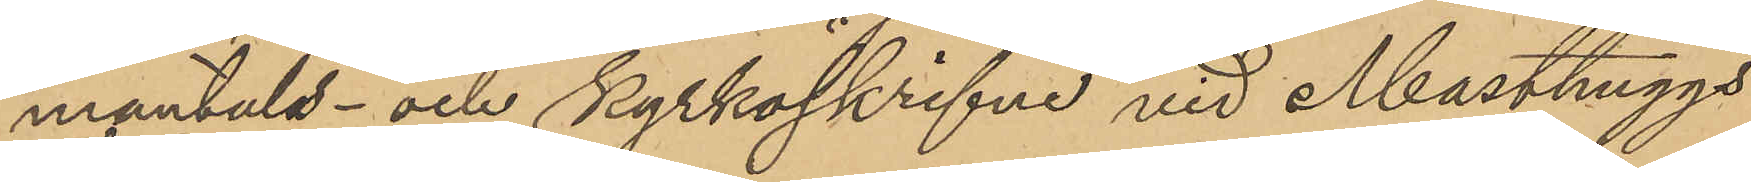mantals- och kyrkoskrifne vid Masthuggs
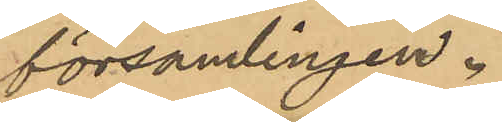församlingen.
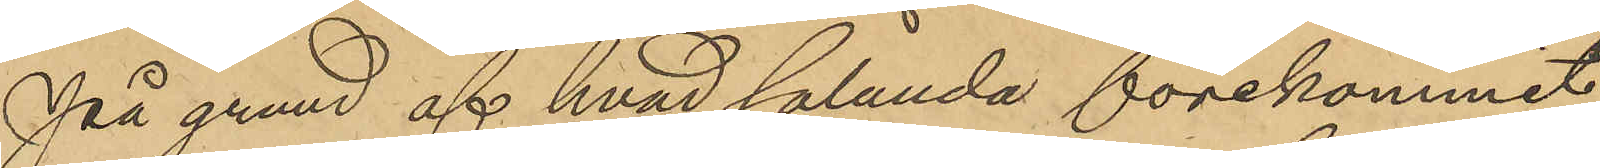På grund af hvad sålunda förekommit
